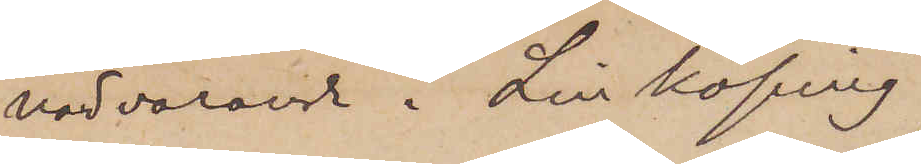närvarande i Linköping
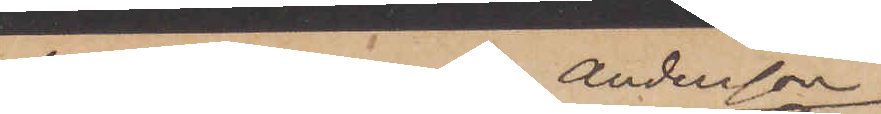hos Bagaren A. Andersson
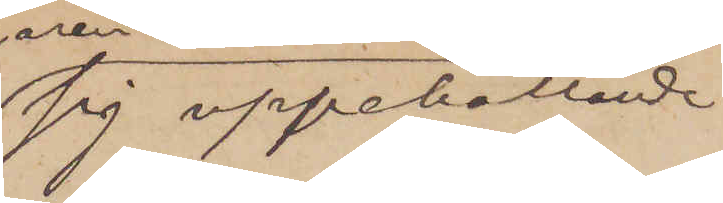sig uppehållande
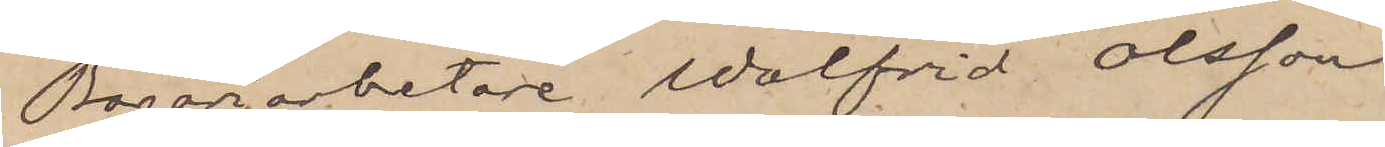Bageriarbetare Walfrid Olsson
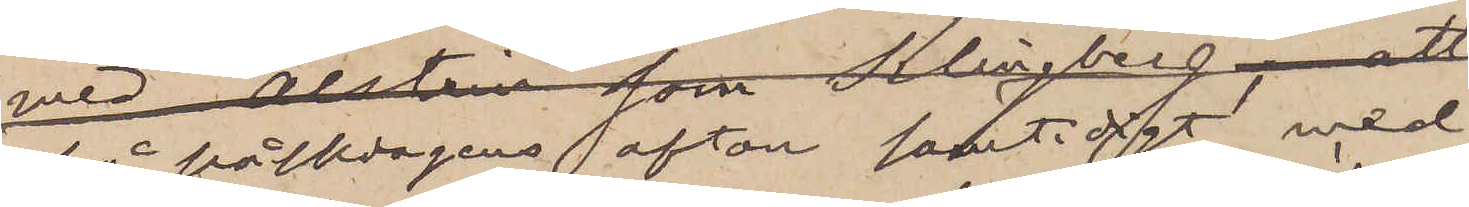på påskdagens afton samtidigt med
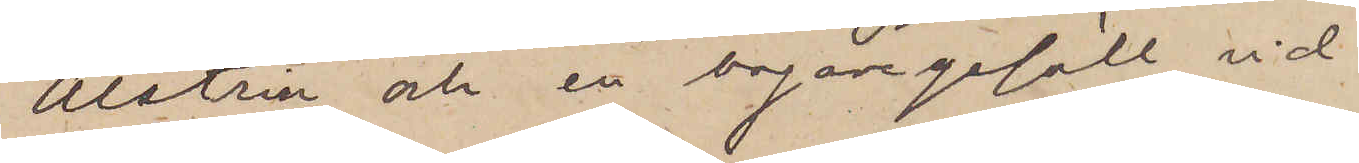Alström och en bagaregesäll vid
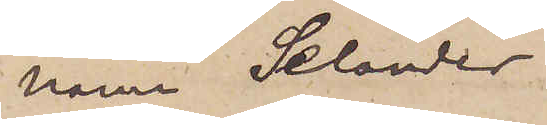namn Selander
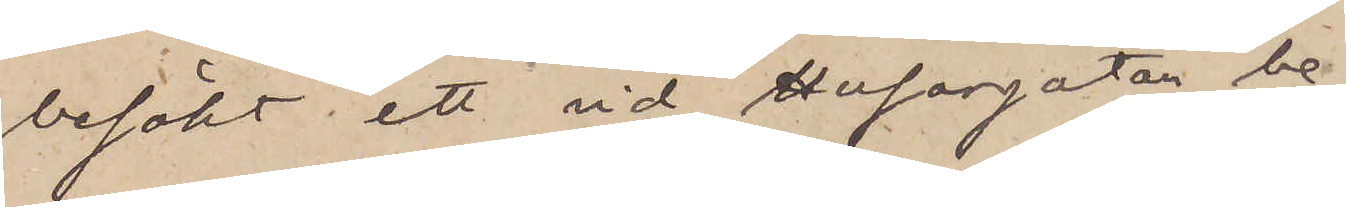besökt ett vid Husargatan be¬
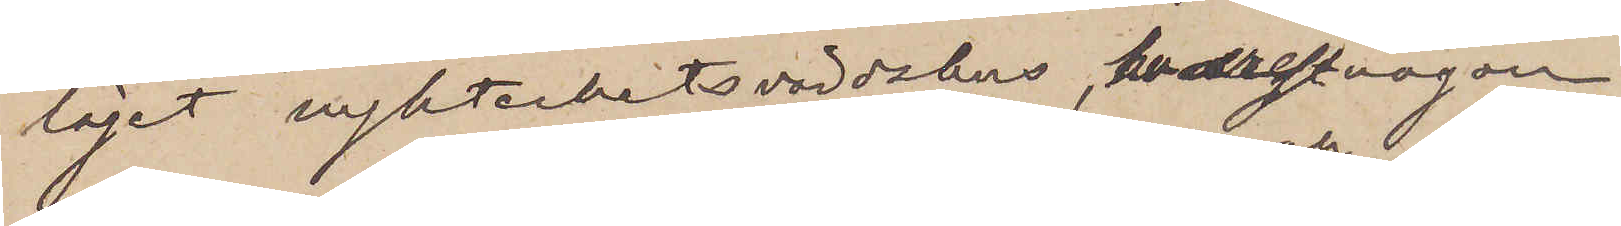läget nykterhetsvärdshus, hvarefter någon
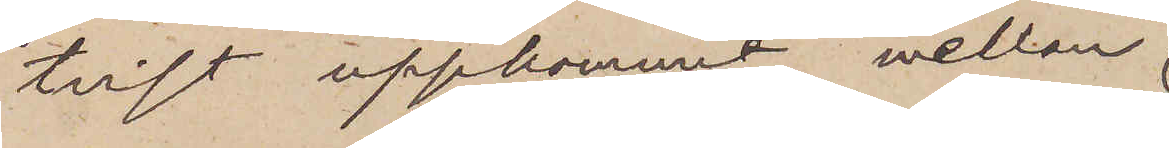tvist uppkommit mellan
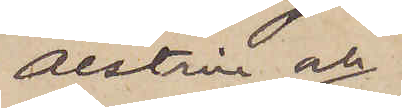Alstrin och
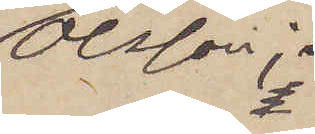Olsson;
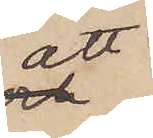att
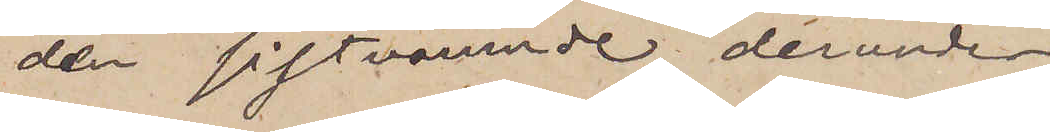den sistnämnde derunder
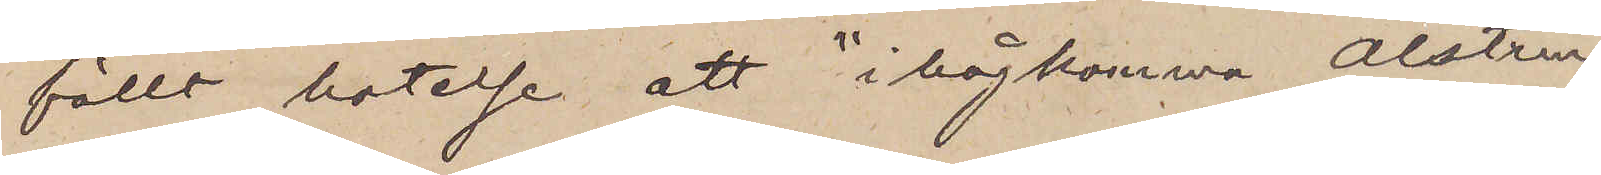fällt hotelse att "ihågkomma Alstrin";
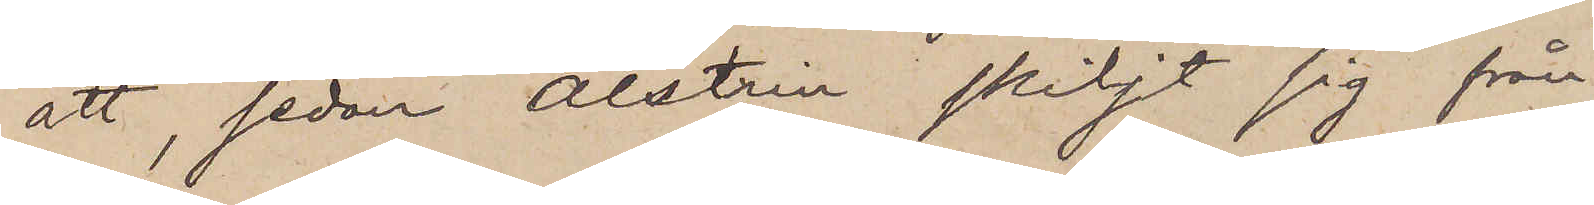att, sedan Alstrin skiljt sig från
